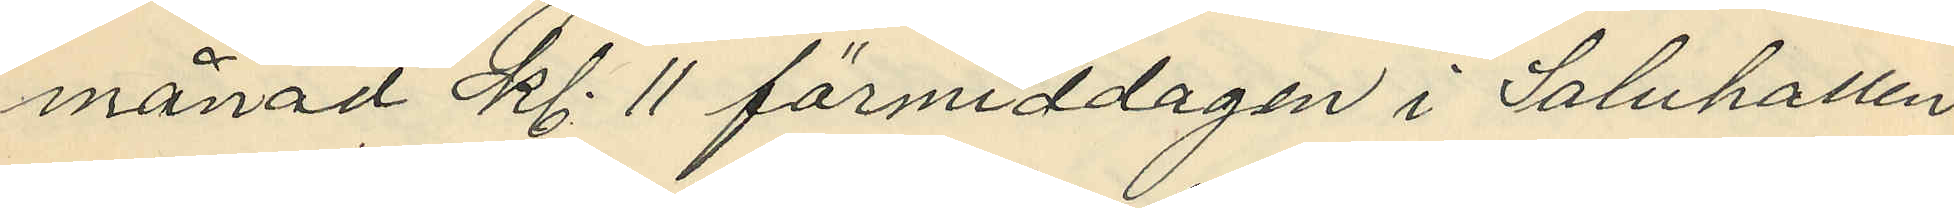månad kl. 11 förmiddagen i Saluhallen
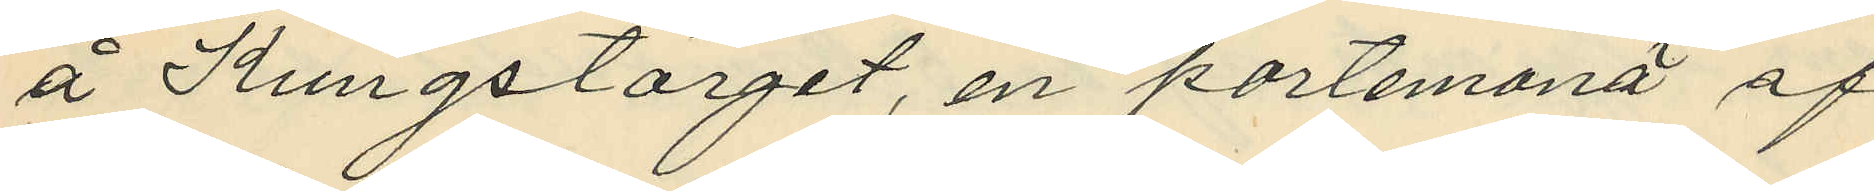å Kungstorget, en portemonä af
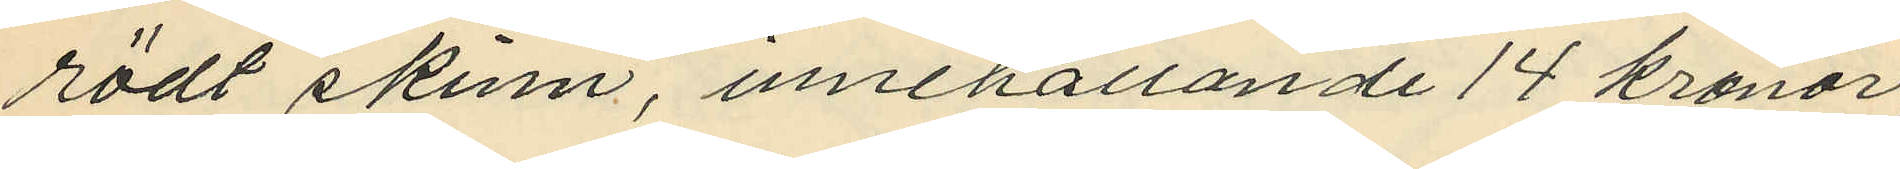rödt skinn, innehållande 14 kronor,
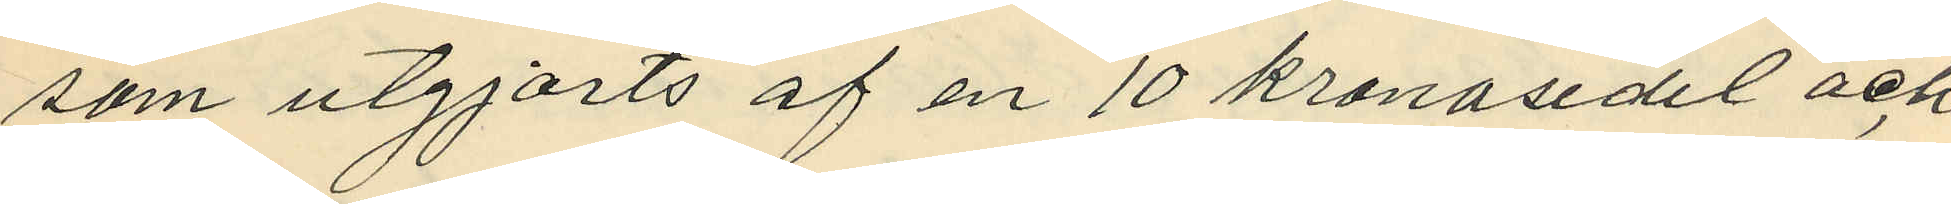som utgjorts af en 10 kronosedel och
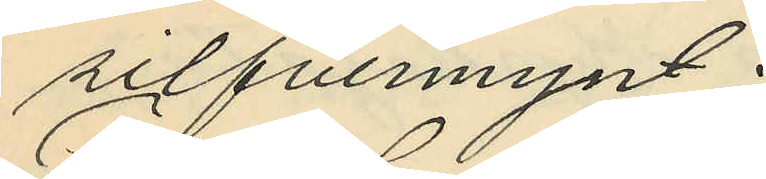silfvermynt;
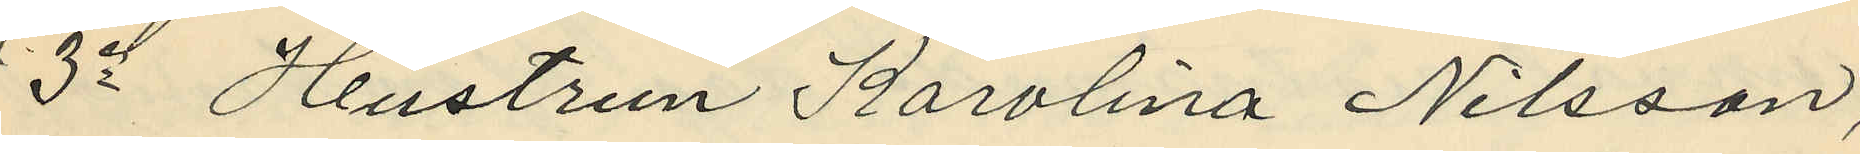3o Hustrun Karolina Nilsson,
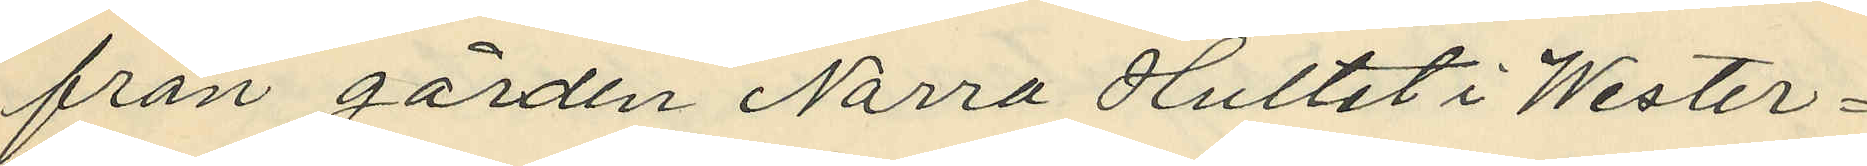från gården Norra Hultet i Wester¬
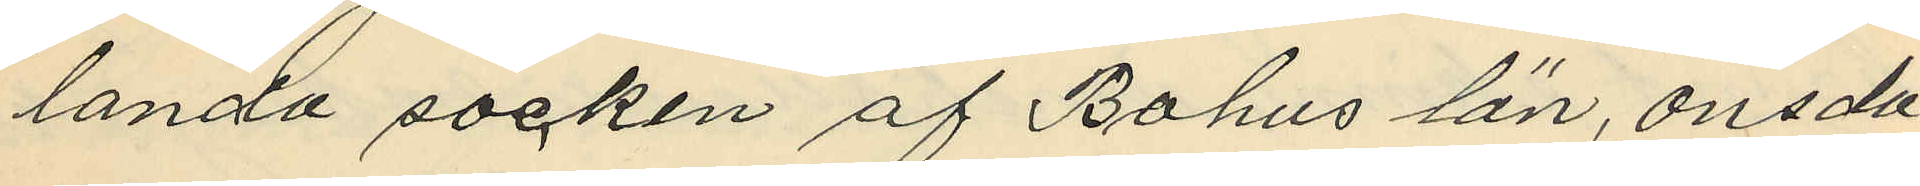landa socken af Bohus län, onsda¬
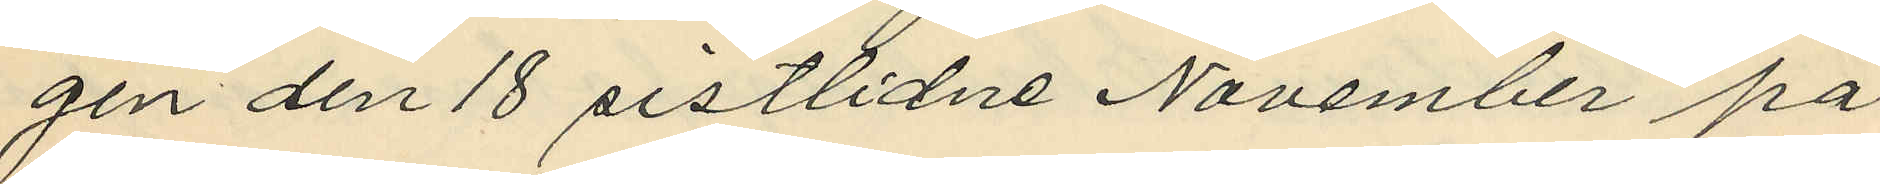gen den 18 sistlidne November på
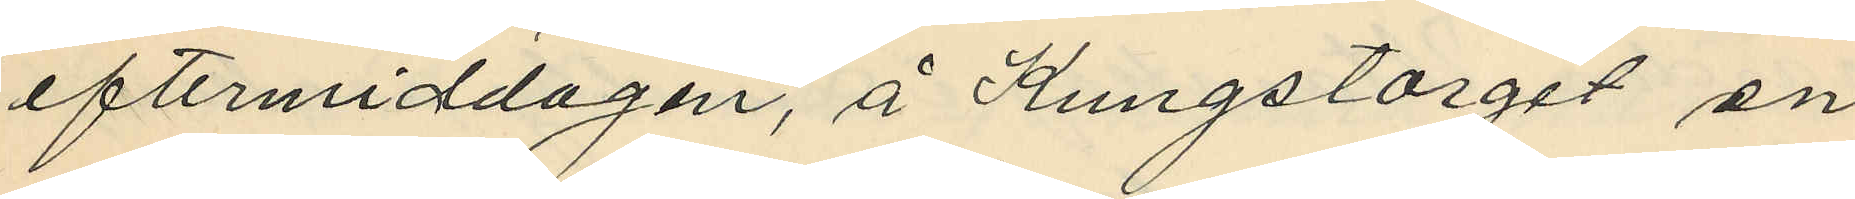eftermiddagen, å Kungstorget en
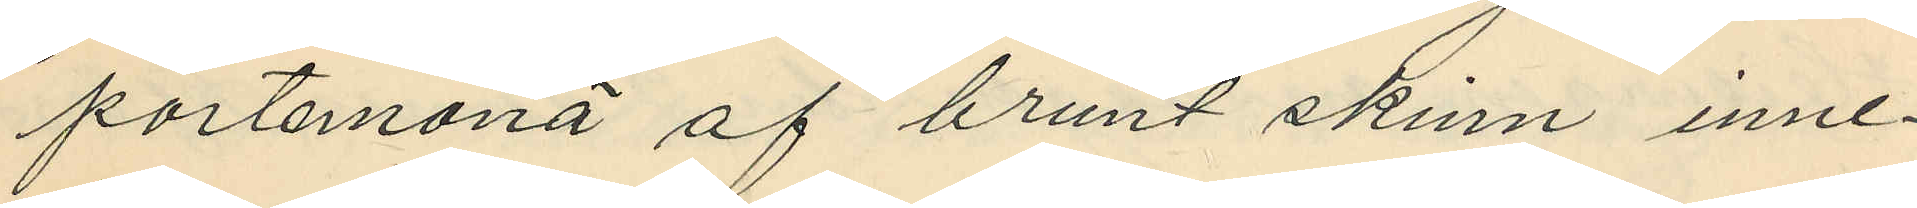portemonä af brunt skinn inne¬
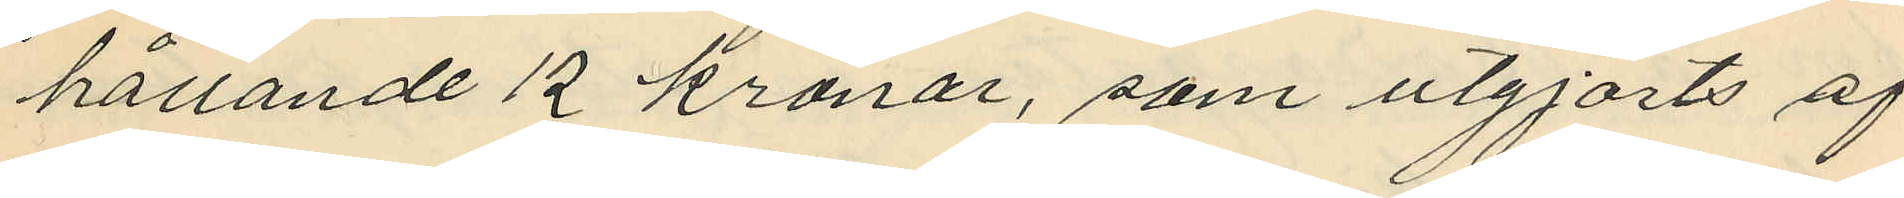hållande 12 kronor, som utgjorts af
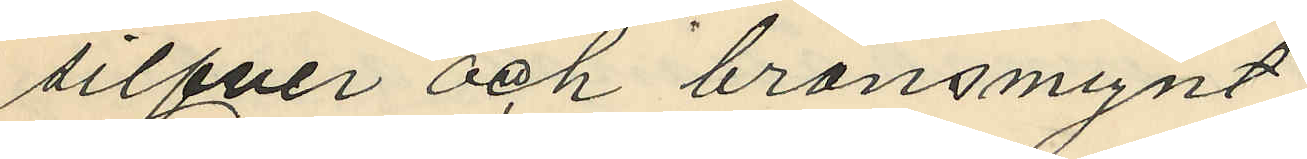silfver och bronsmynt;
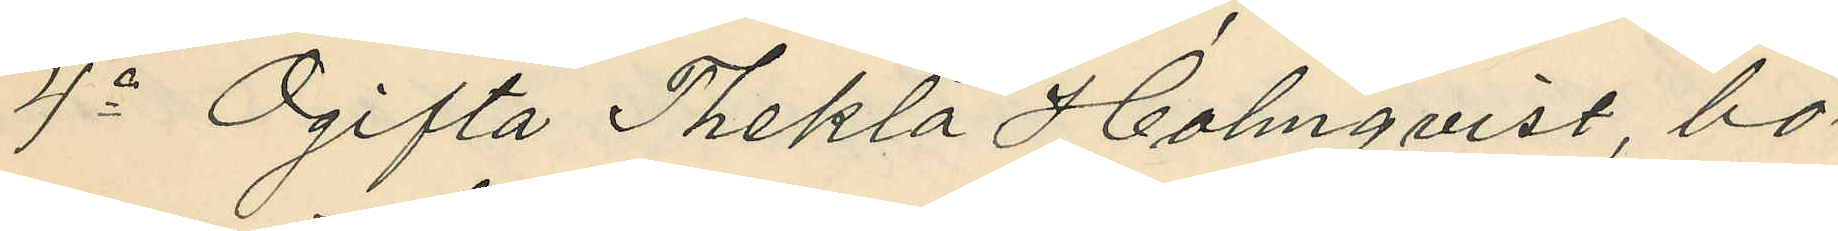4o Ogifta Thekla Holmqvist, bo¬
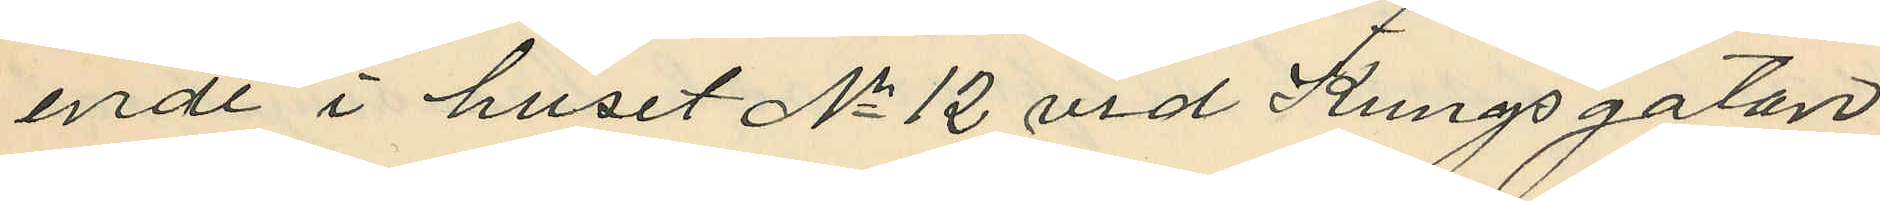ende i huset No 12 vid Kungsgatan,
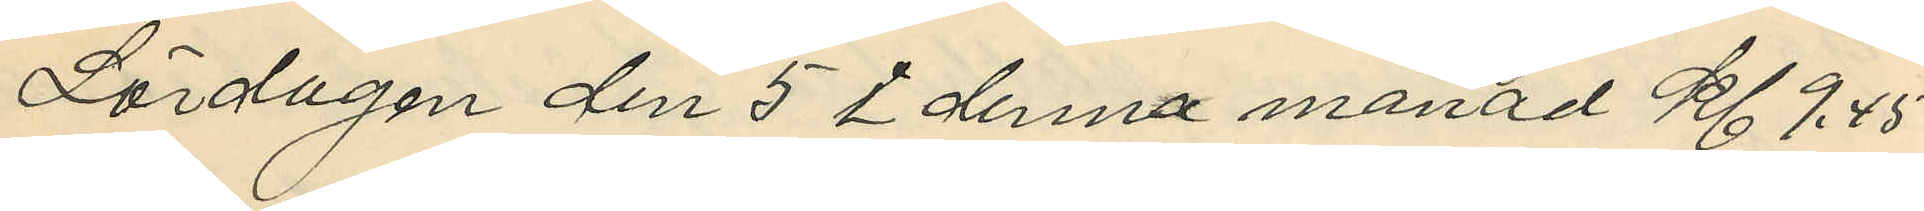Lördagen den 5 i denna månad kl. 9,45
